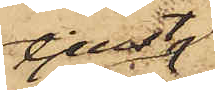tjenst
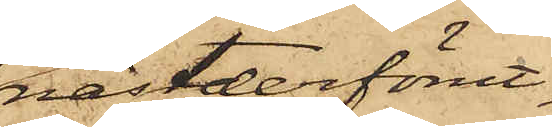nästderförut¬
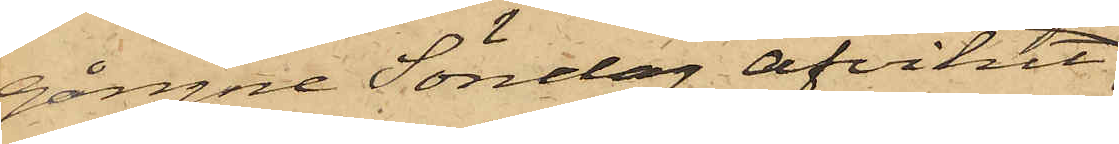gångne Söndag afvikit
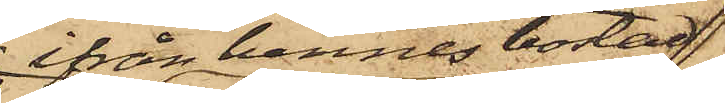ifrån hennes bostad
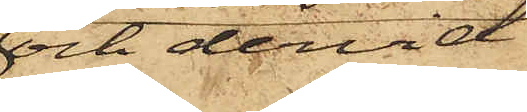och dervid
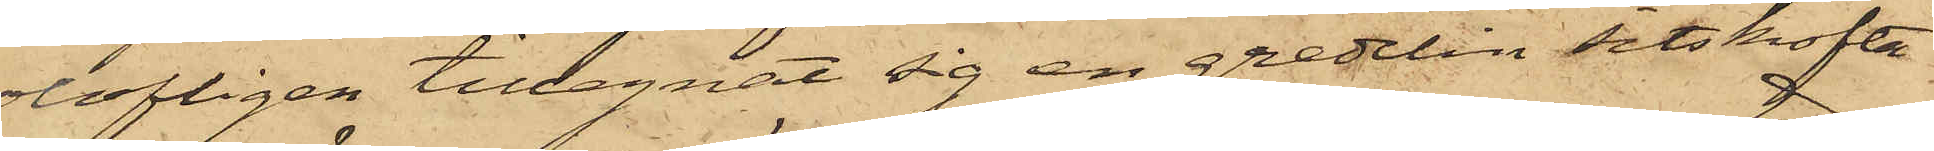olofligen tillegnat sig en gredelin sitskofta
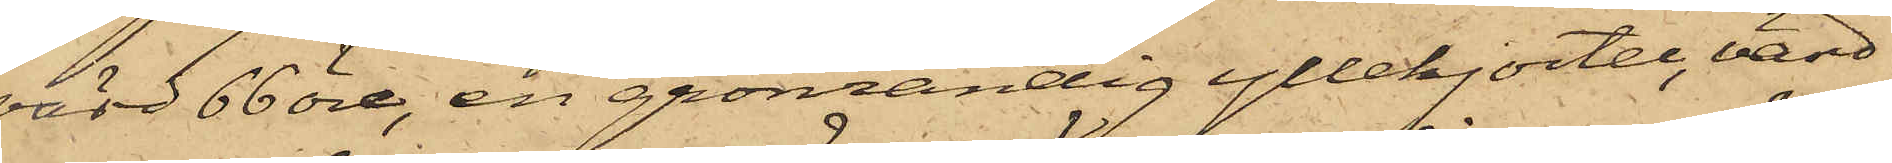värd 66 öre, en grönrandig yllekjortel, värd
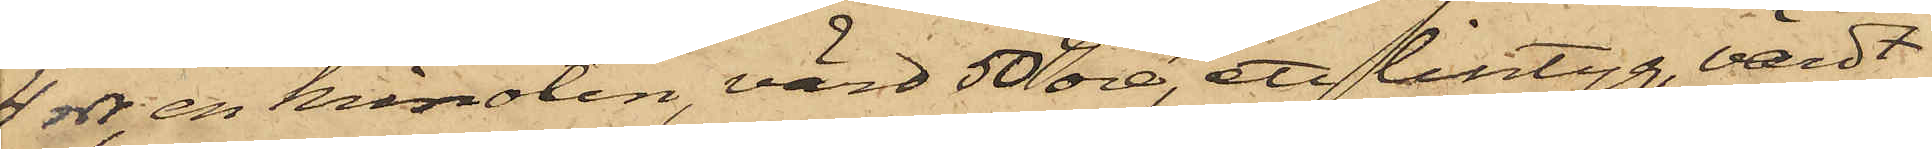4 rdr, en krinolin, värd 50 öre, ett lintyg, värdt
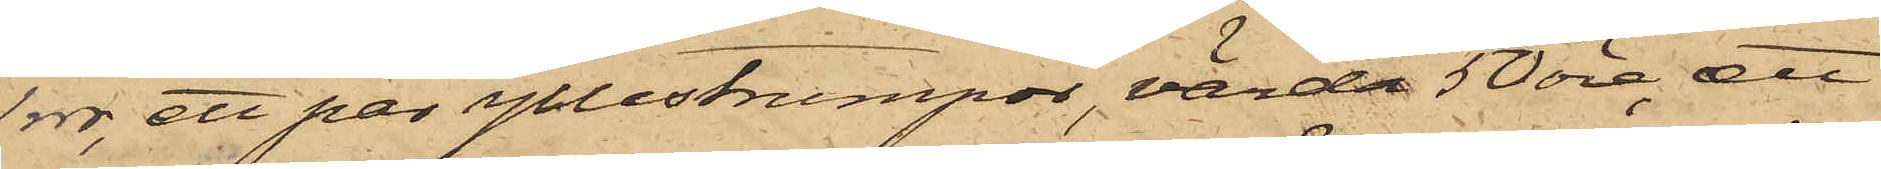1 rdr, ett par yllestrumpor, värda 50 öre, ett
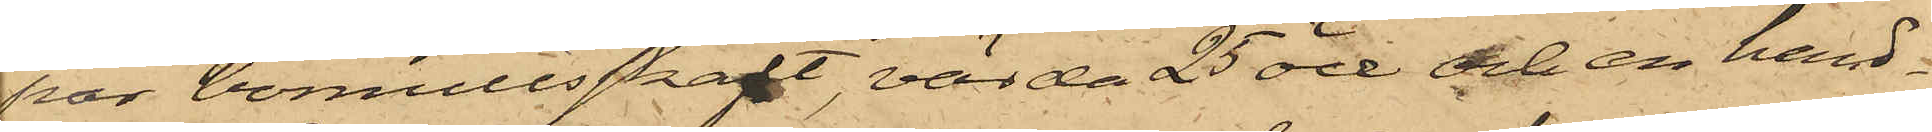par bomullsskaft, värda 25 öre och en hand¬
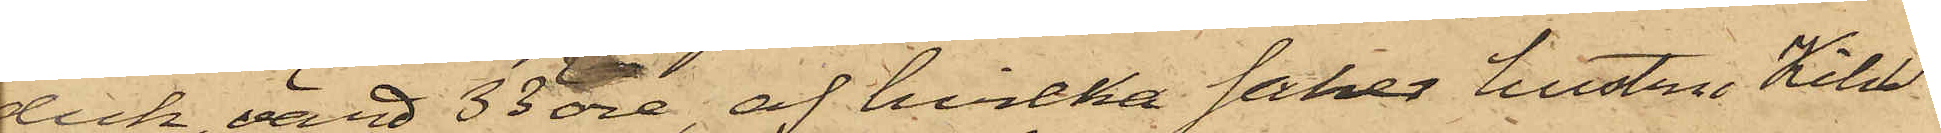lick, värd 33 öre, af hvilka saker hustru Kihl¬
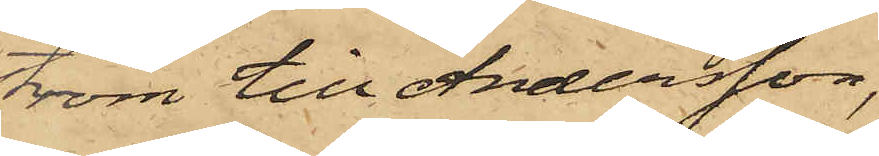ström till Andersson,
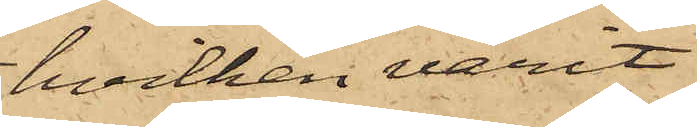hvilken varit
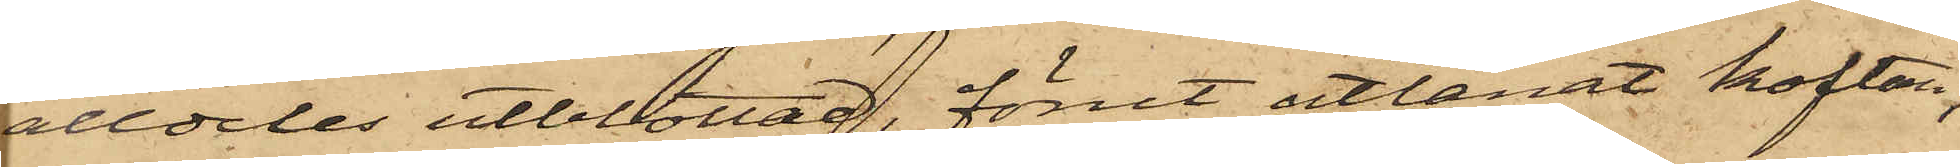alldeles utblottad, förut utlånat koftan,
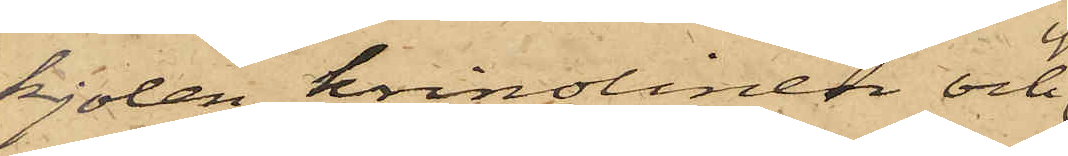kjolen, krinolinen och
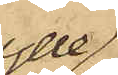ylle¬
